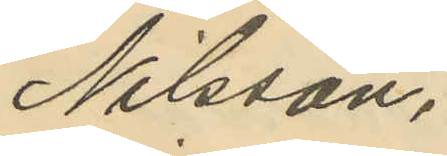Nilsson,
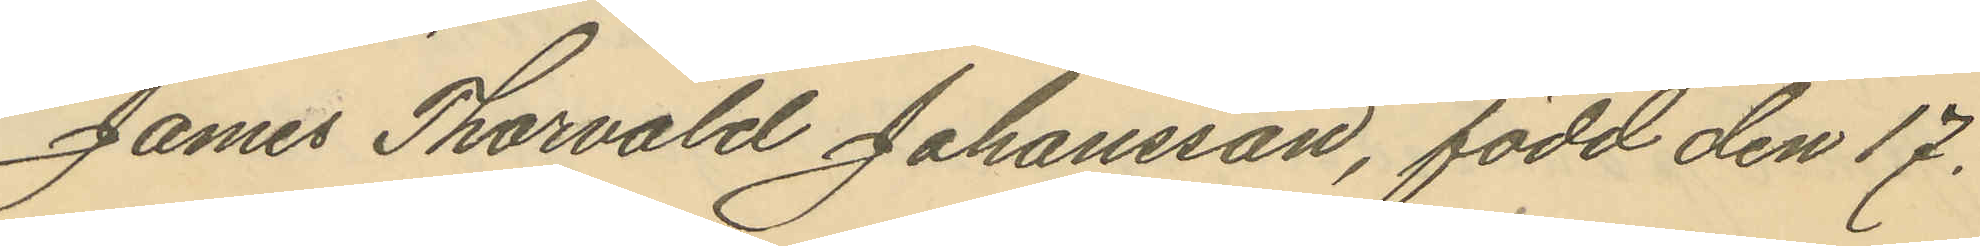James Thorvald Johansson, född den 17
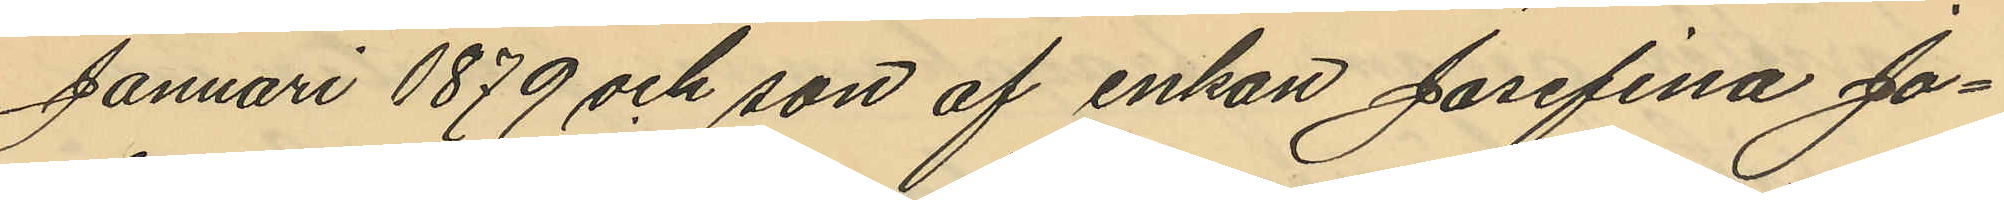Januari 1879 och son af enkan Josefina Jo¬
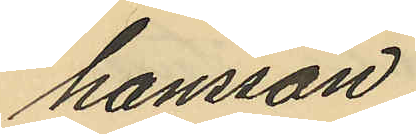hansson,
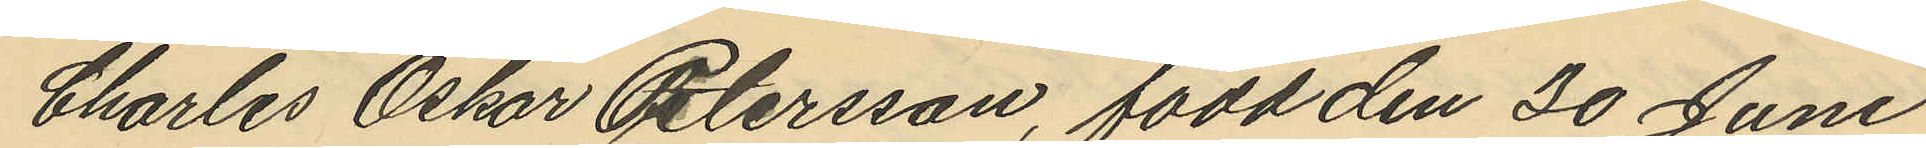Charles Oskar Petersson, född den 30 Juni
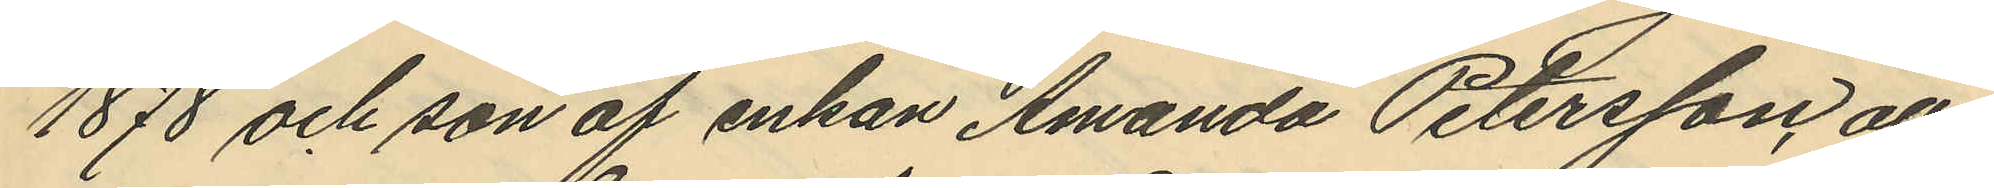1878 och son af enkan Amanda Petersson, alla
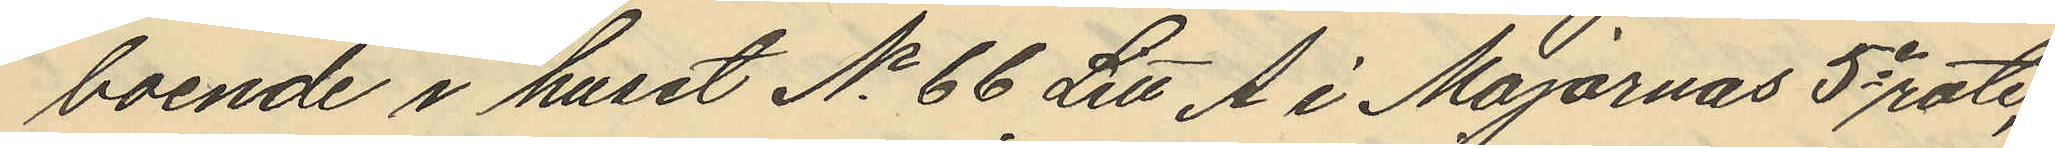boende i huset No 66 Litt A i Majornas 5e rote,
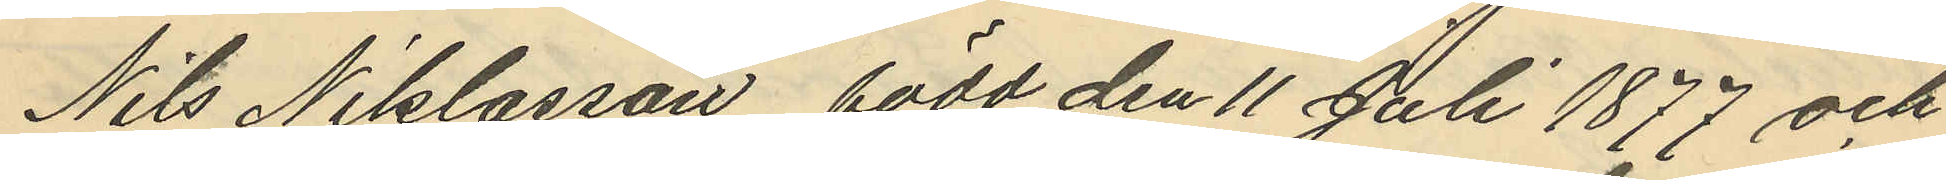Nils Niklasson, född den 11 Juli 1877 och
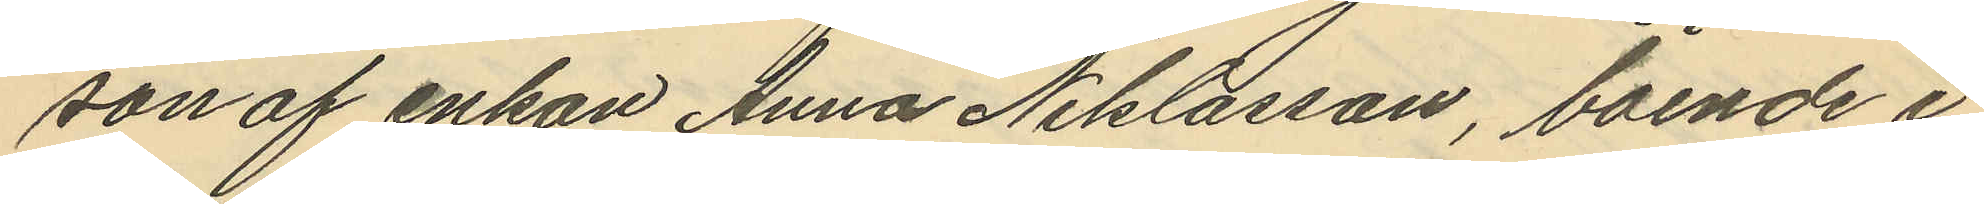son af enkan Anna Niklasson, boende i
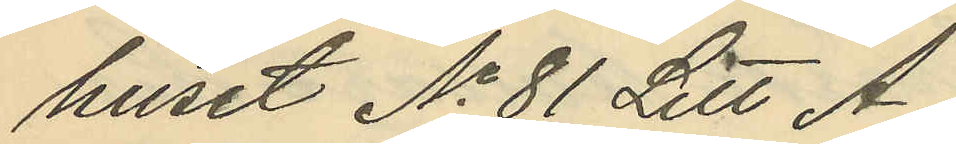huset No 81 Litt A,
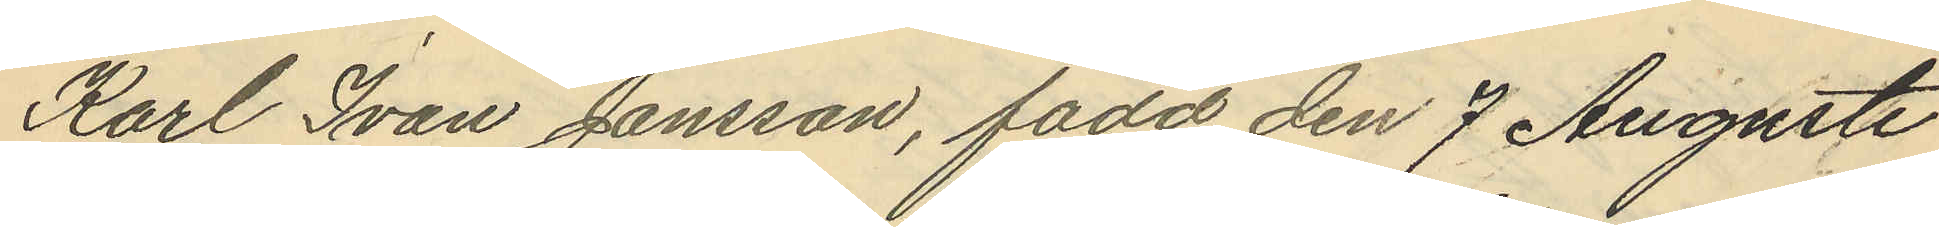Karl Ivan Jansson, född den 7 Augusti
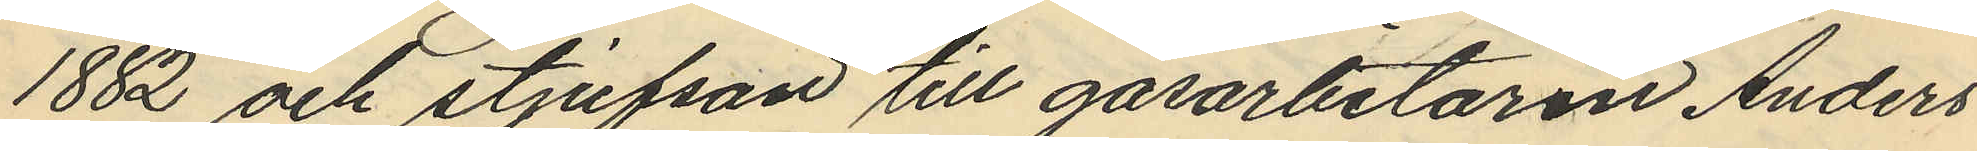1882 och stjufson till gasarbetaren Anders
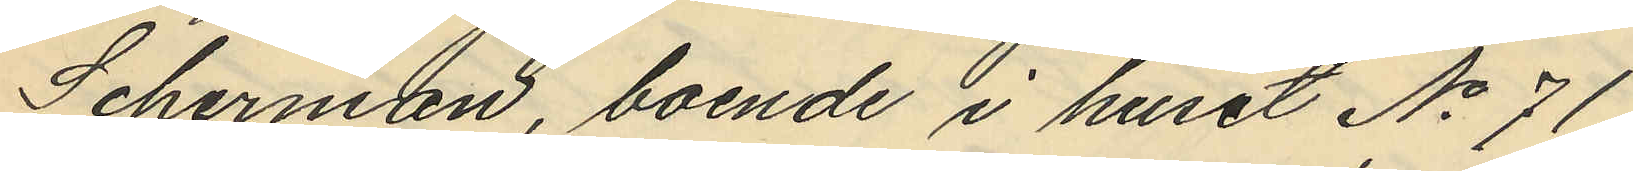Scherman, boende i huset No 71,
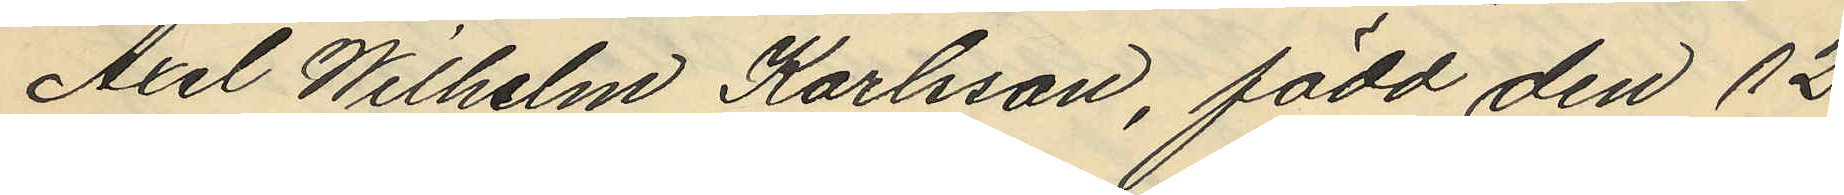Axel Wilhelm Karlsson, född den 12
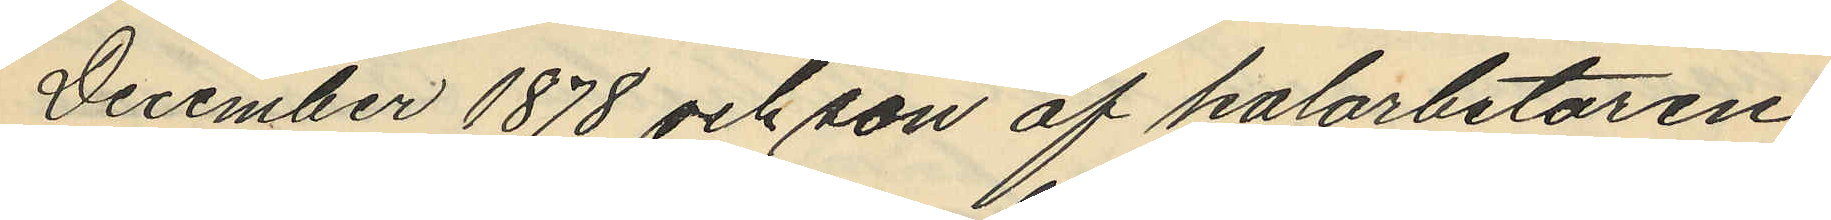December 1878 och son af kolarbetaren
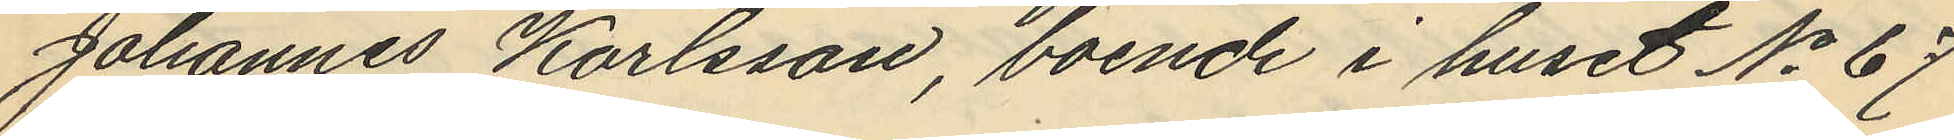Johannes Karlsson, boende i huset No 67
